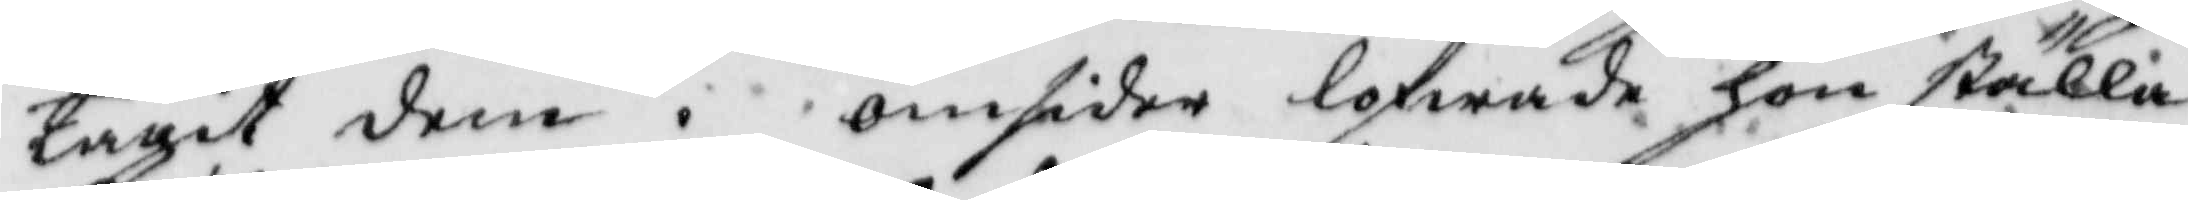tagit dem. omsider lofwade hon ställa
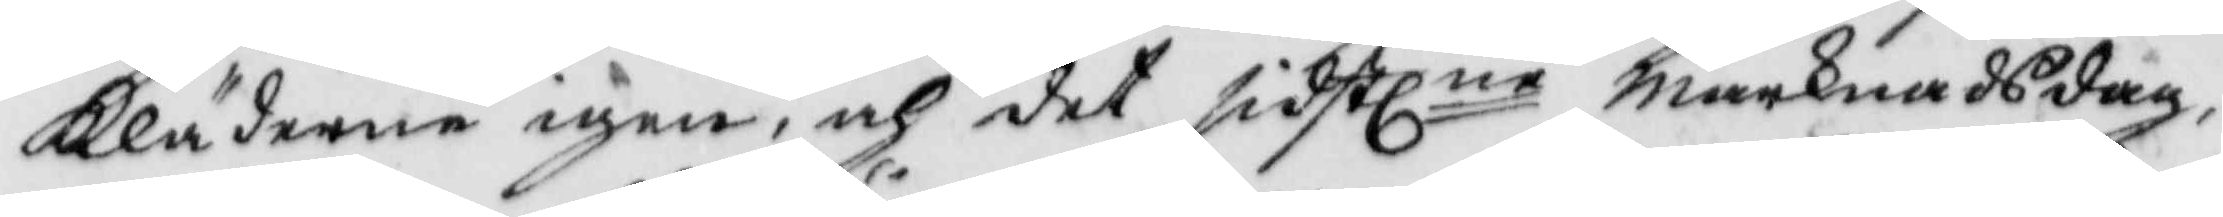Kläderne igen, och det sidstl.ne marknadsdag,
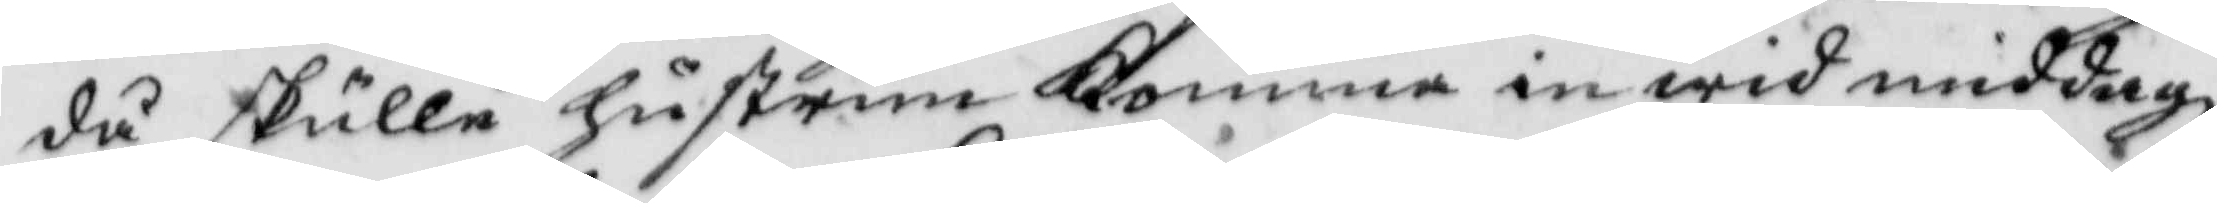då skulle hustrun komma in wid middagz¬
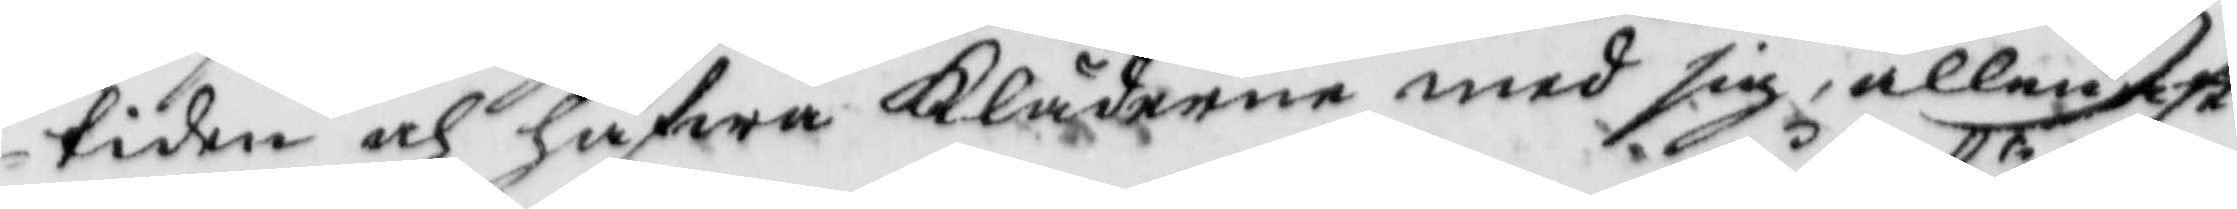tiden och hafwa Kläderne med sig, allenast
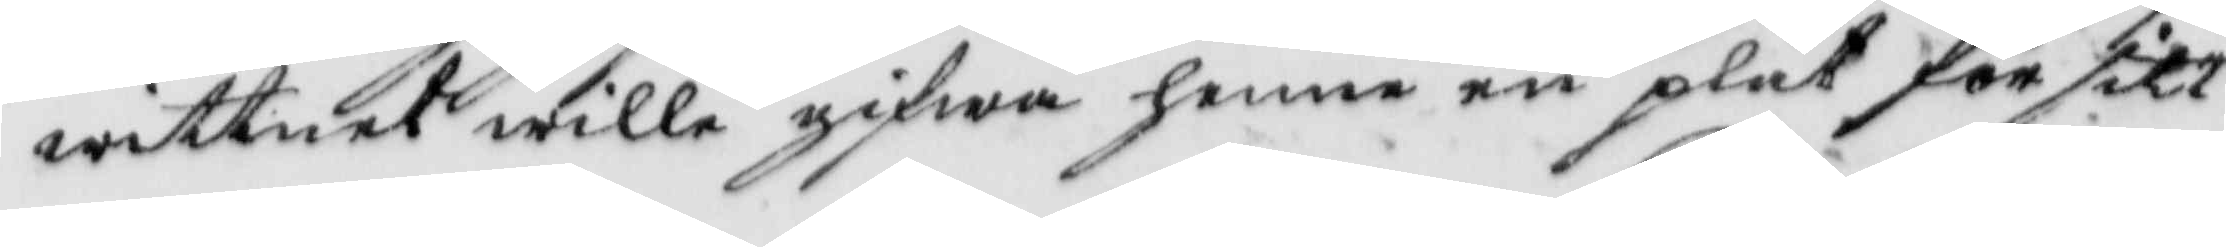wittnet wille gifwa henne en plåt för sitt 
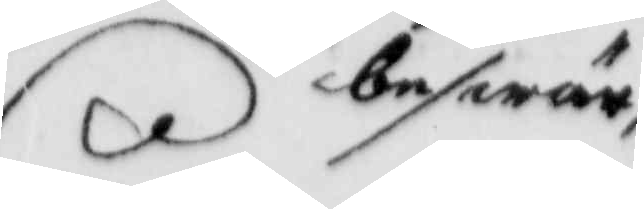beswär,
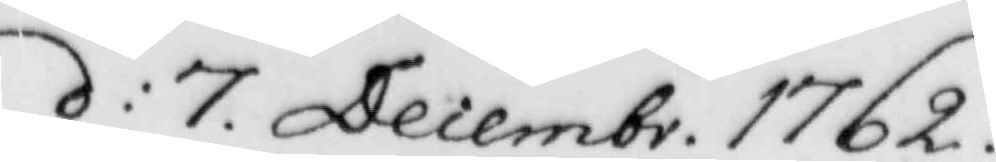d: 7. Decembr. 1762.
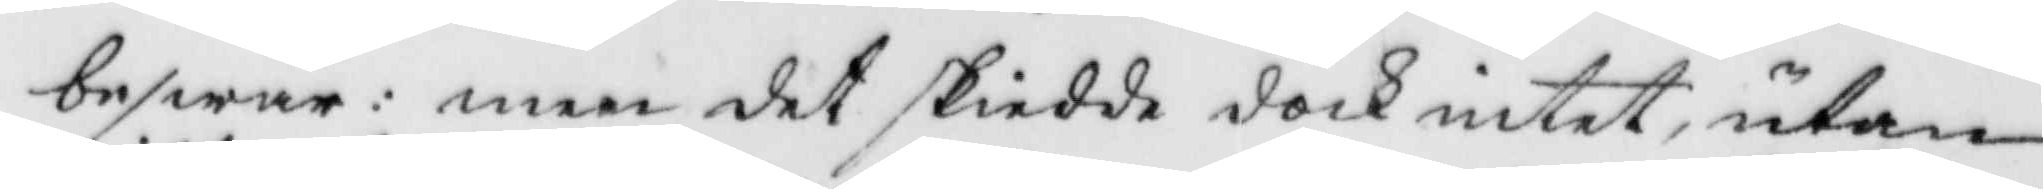beswär: men det skiedde dock intet, utan
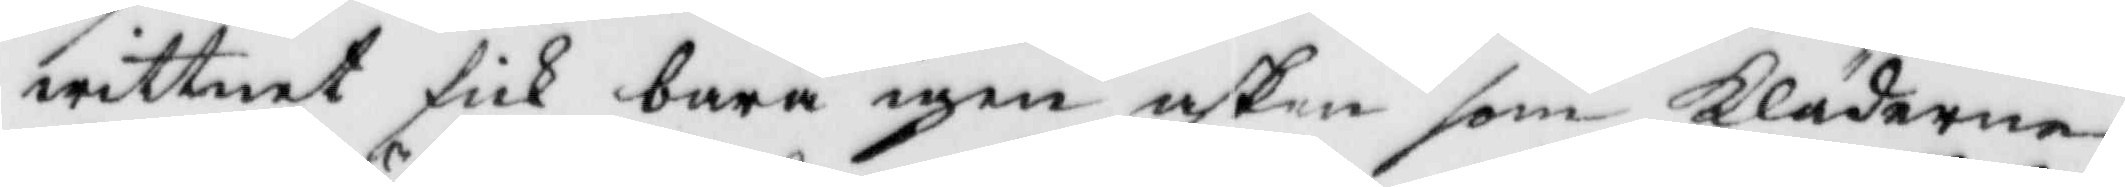wittnet fick bara igen asken som Kläderna
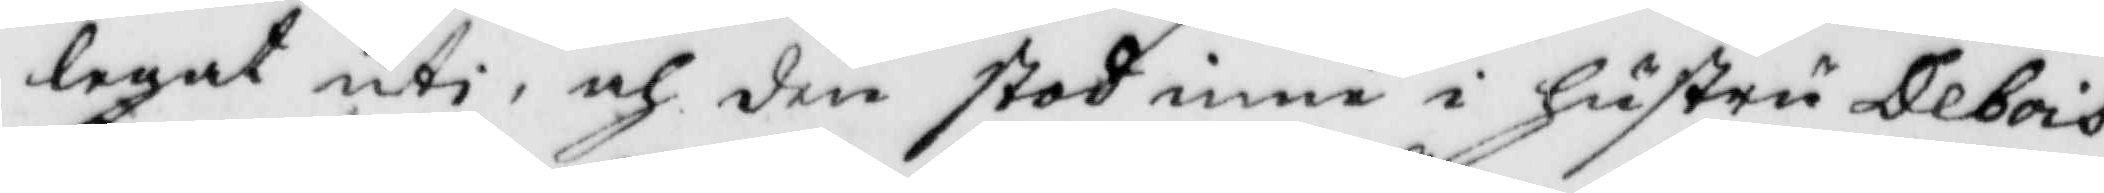legat uti, och den stod inne i hustru Debois
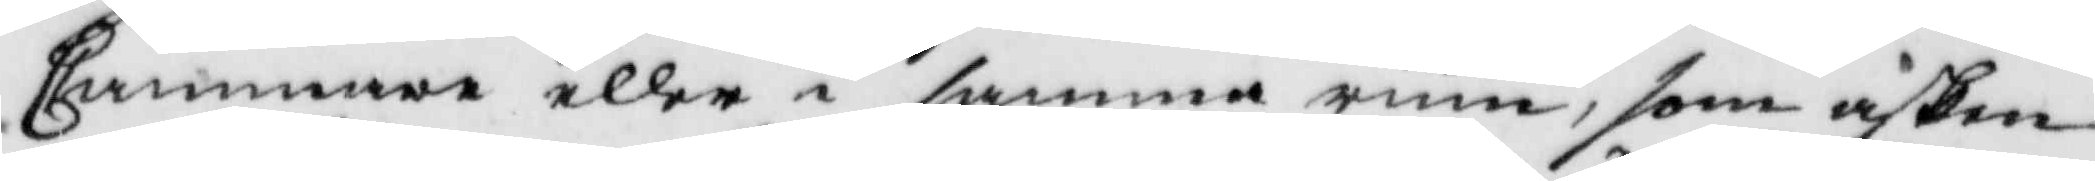Cammare eller i samma rum, som asken
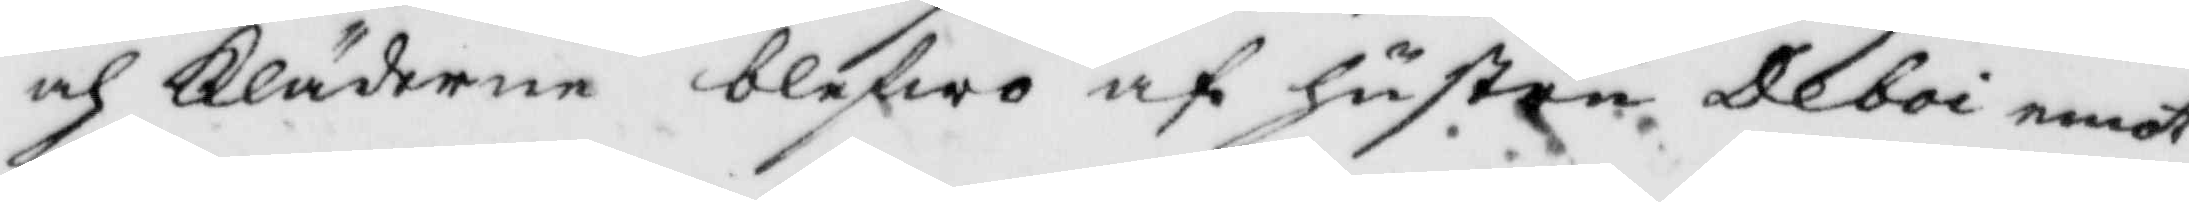och Kläderne blefwo af hustru Deboi emot¬
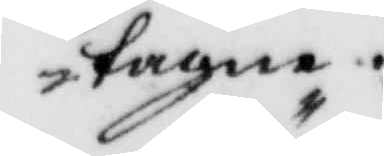tagna.
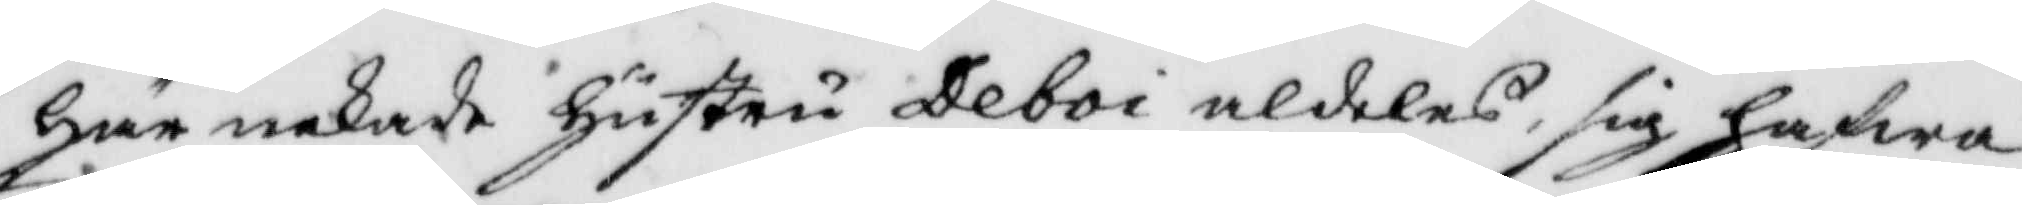här nekade hustru Deboi aldeles sig hafwa
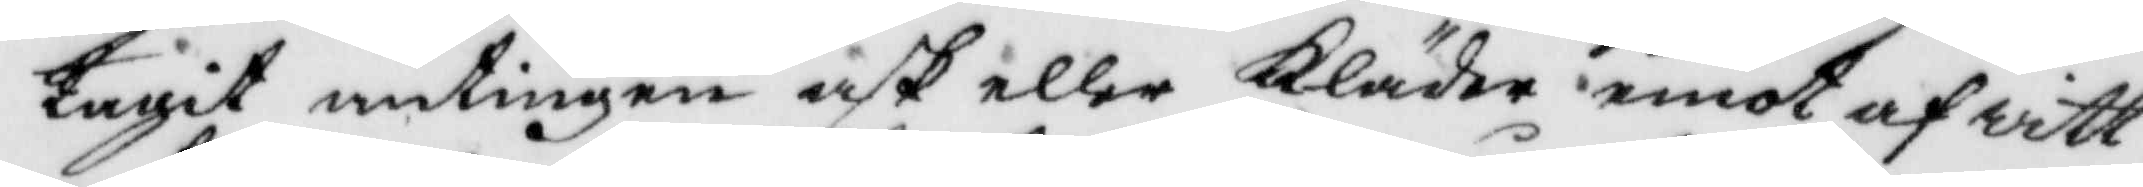tagit antingen ask eller Kläder emot af witt¬
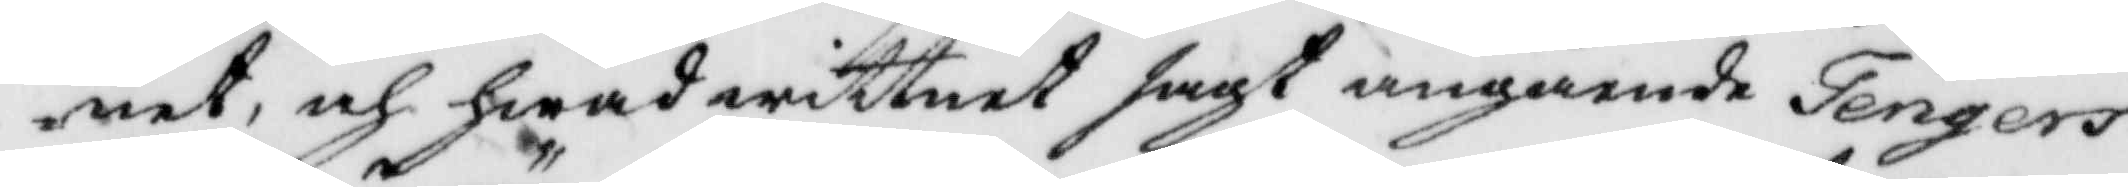net, och hwad wittnet sagt angående Tengers
